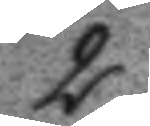2.
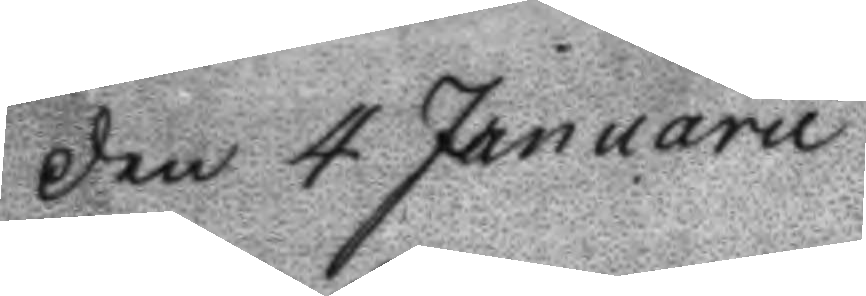den 4 Januarii
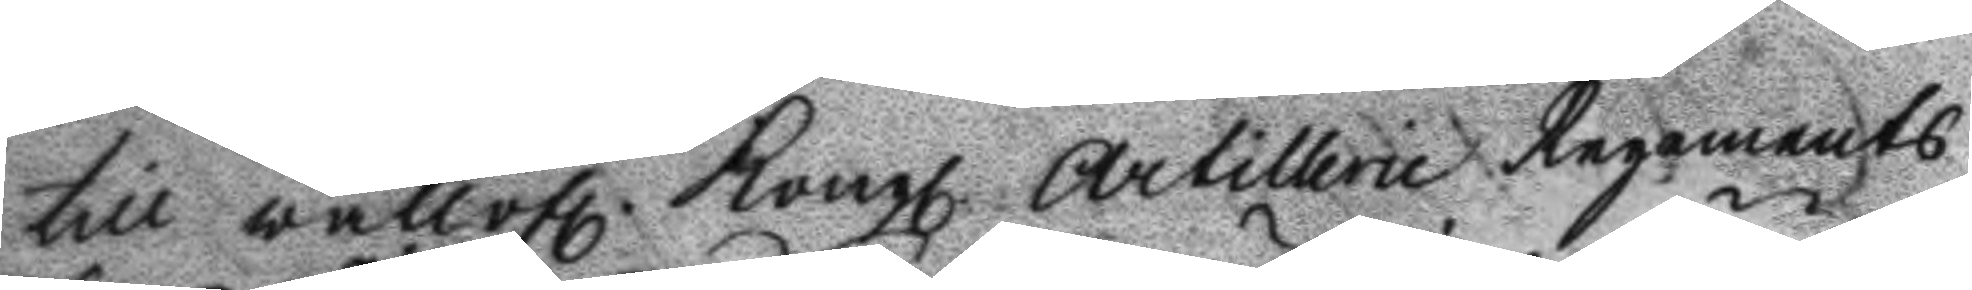till wällofl. Kongl. Artillerie Regements
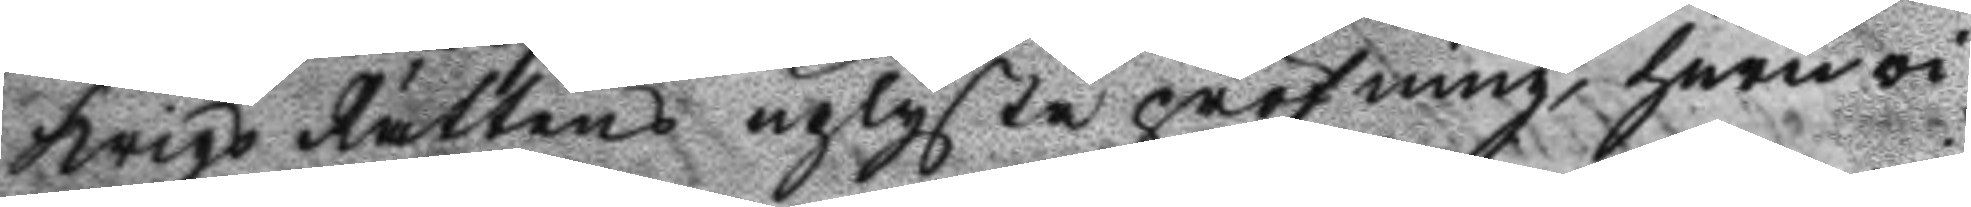Krigs Rättens uplyste pröfning, huru vi¬
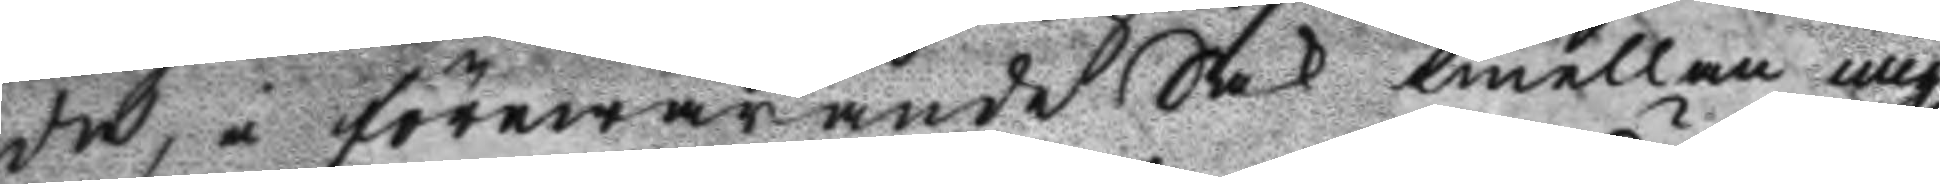da, i förewarande Sak emällan mig
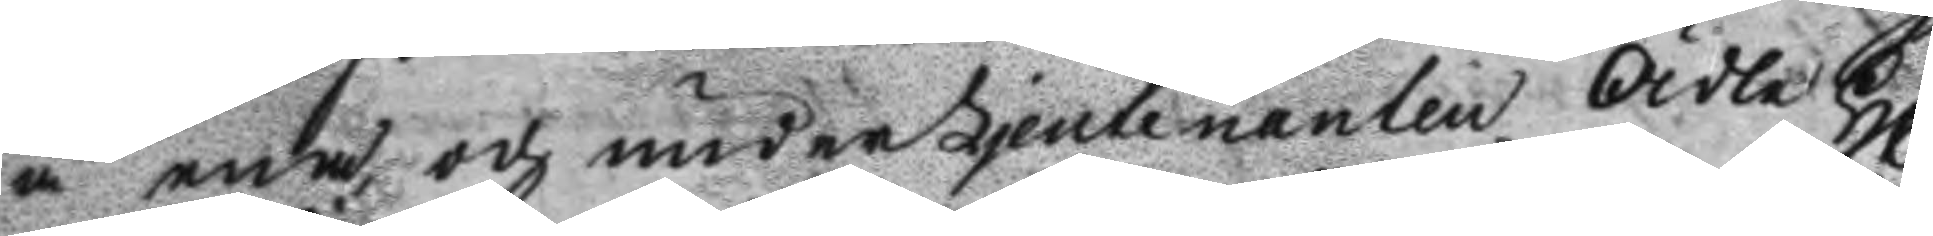å ena och underLieutnanten Ädle Hl.r
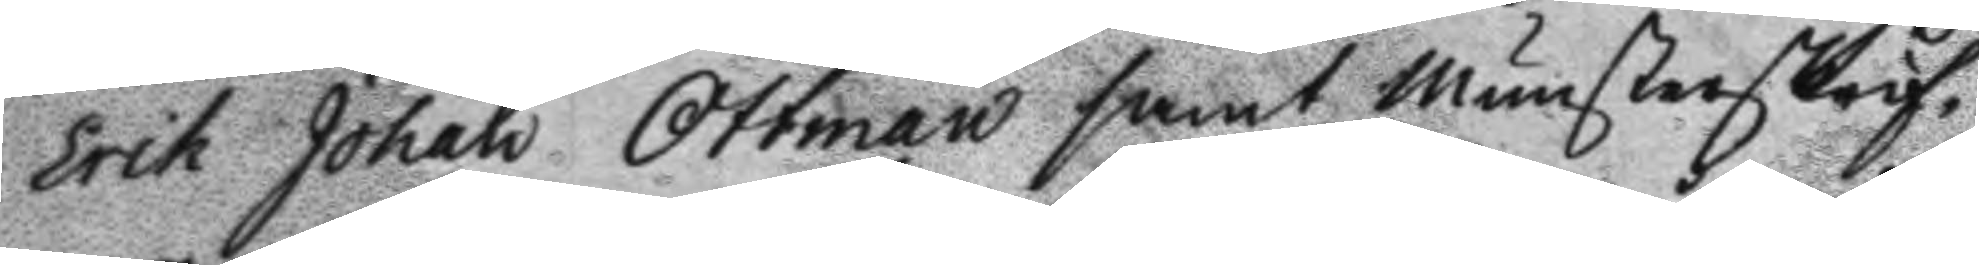Erik Johan Ottman samt Munsterskrif¬
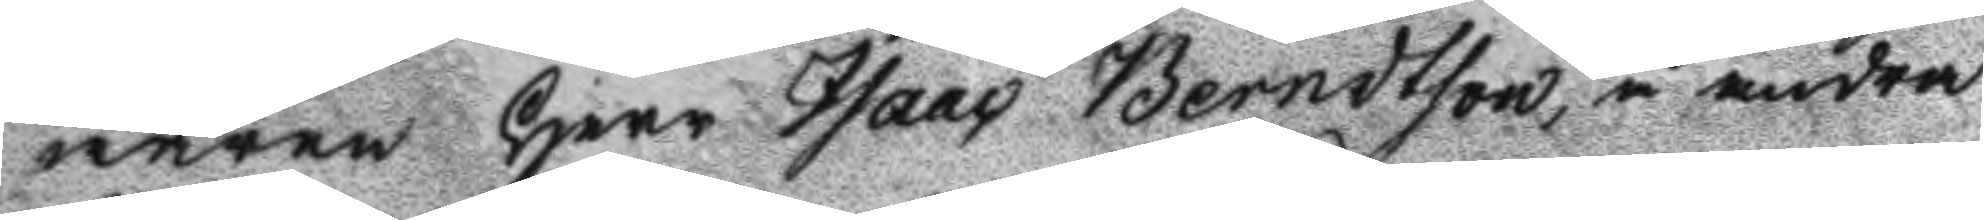weren Herr Isaac Berndtson, å andra
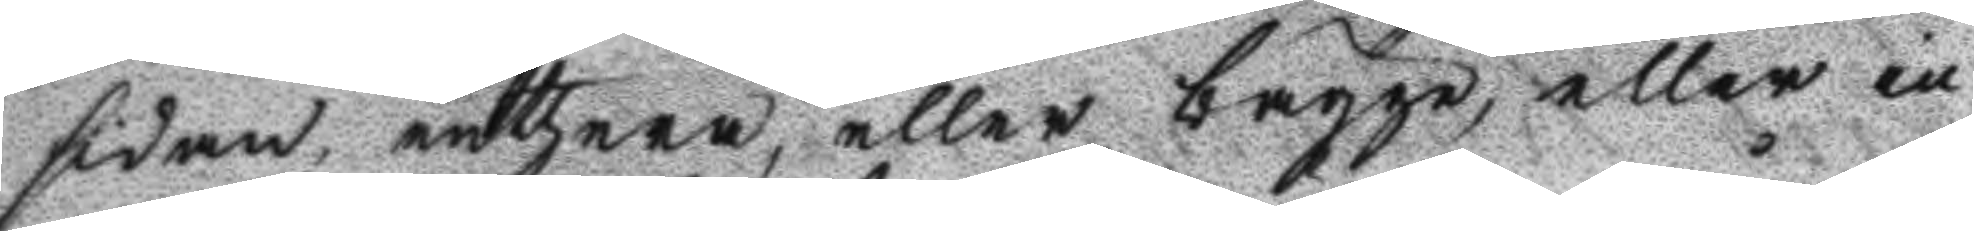sidan, enthera, eller bägge, eller in¬
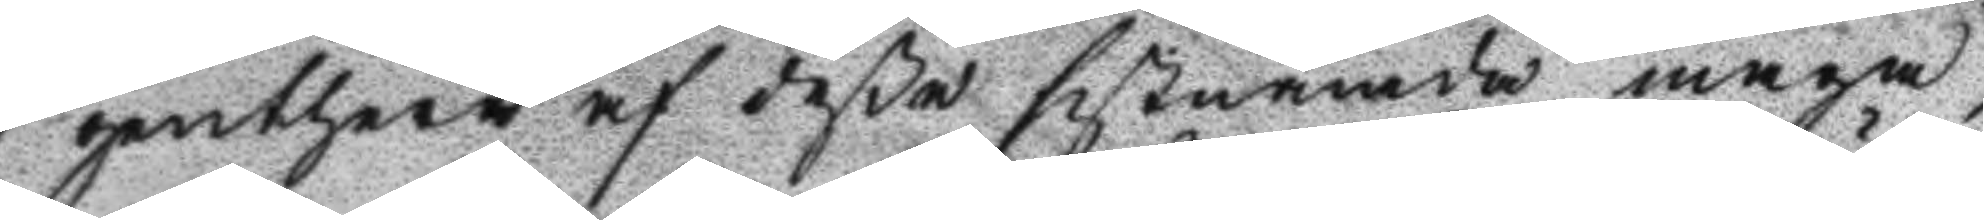genthere af deße sistnämda måga
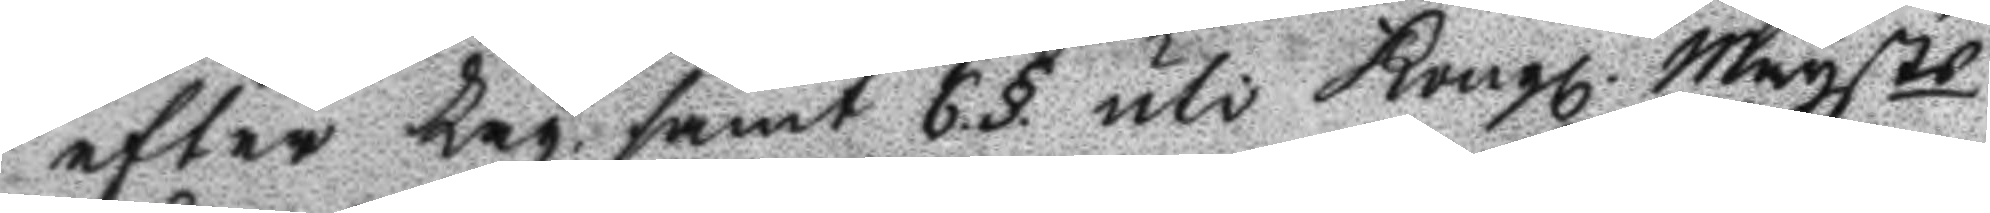efter Lag samt 6.§. uti Kongl. Mayts
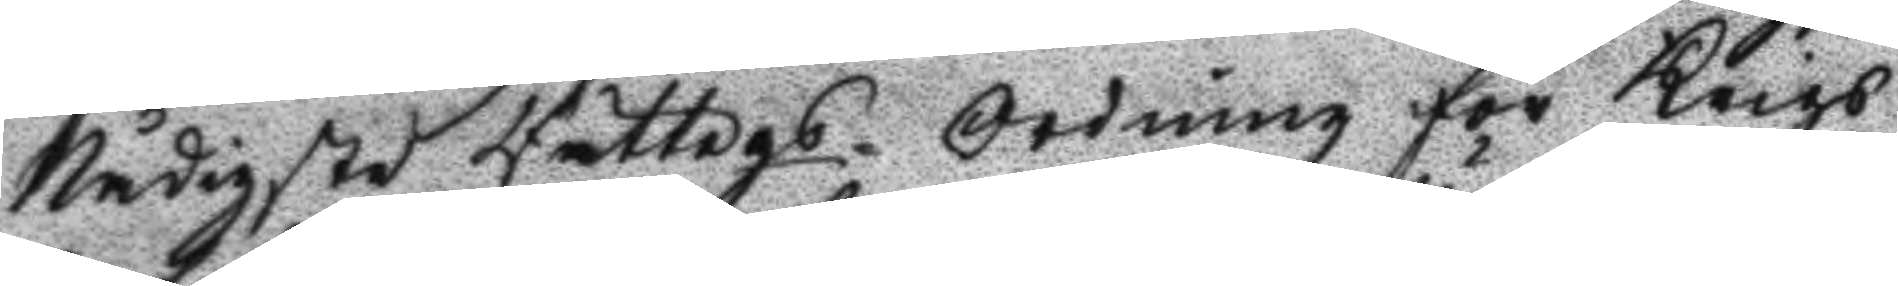Nådigste Rättegs. Ordning för Krigs
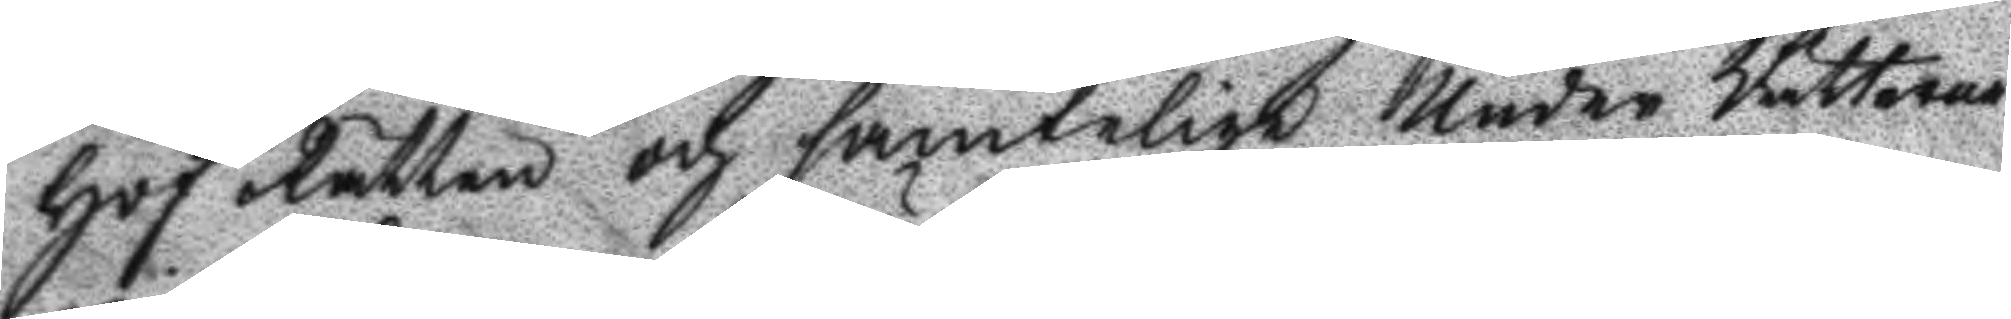Hof Rätten och samtelige Under Rätterne
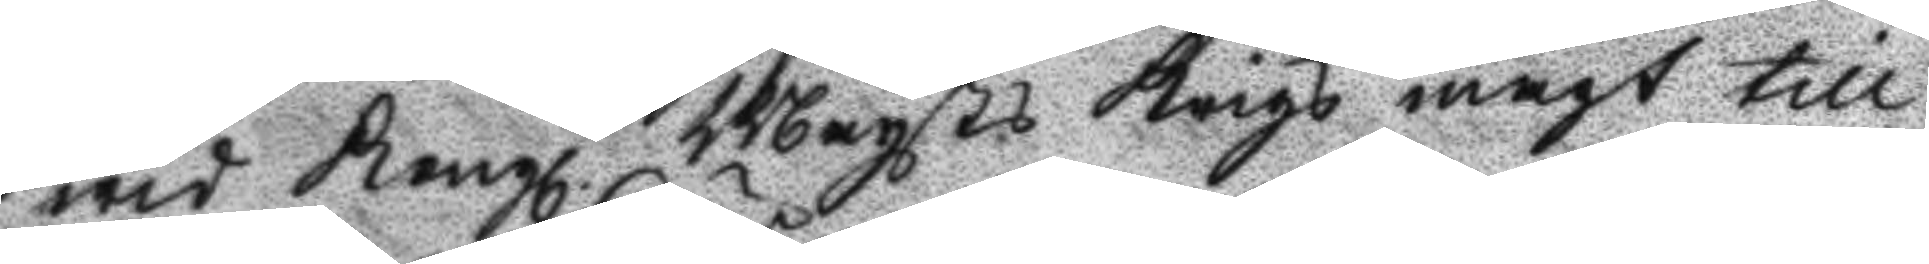wid Kongl. Mayts Krigs magt till
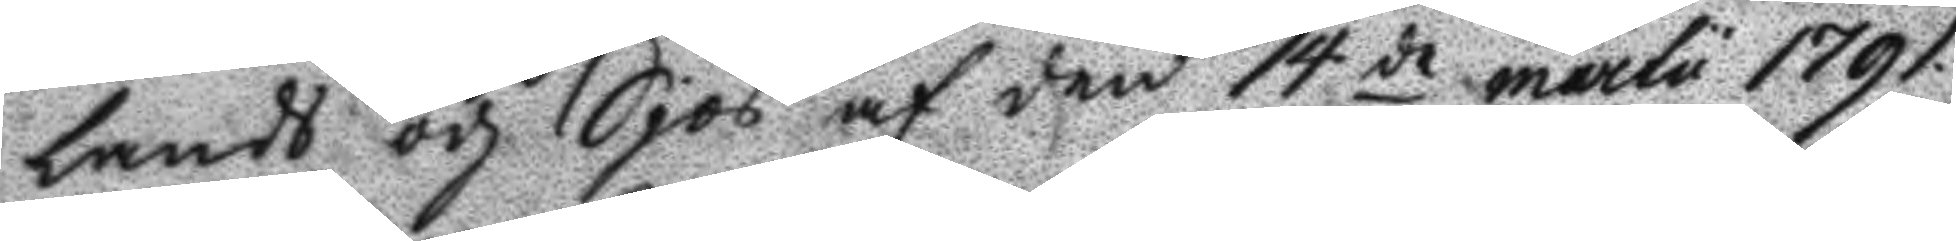lands och Sjös af den 14de martii 1791
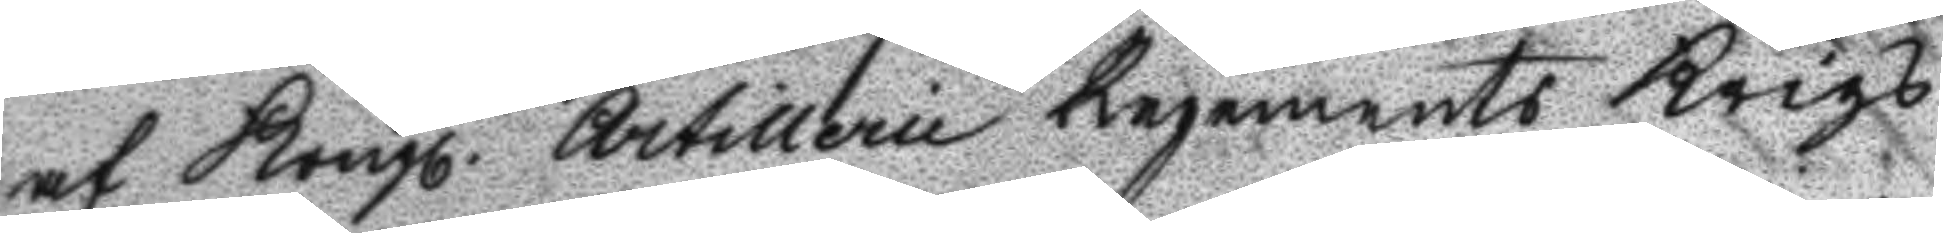af Kongl. Artillerie Regements Krigs
